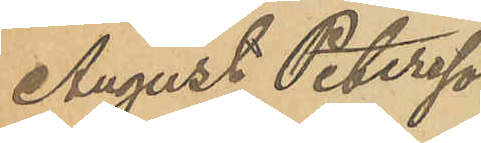August Petersson
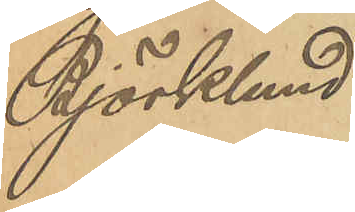Björklund.
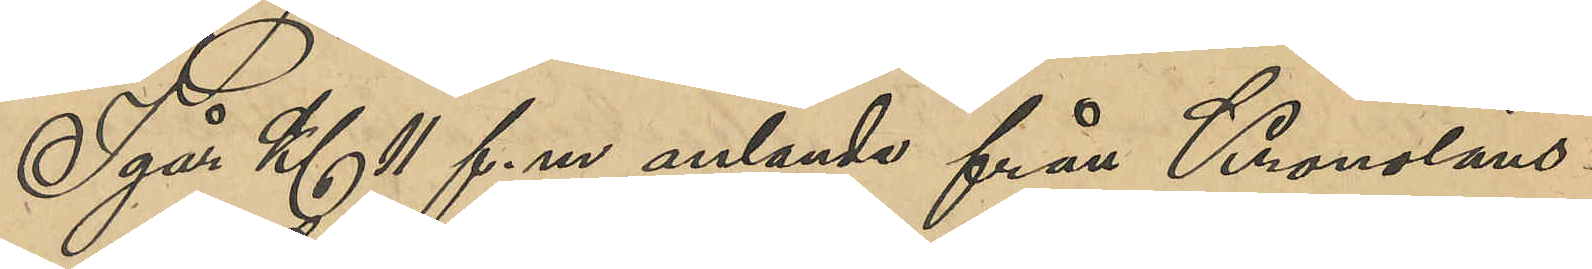Igår Kl 11 f. m. anlände från Kronoläns¬
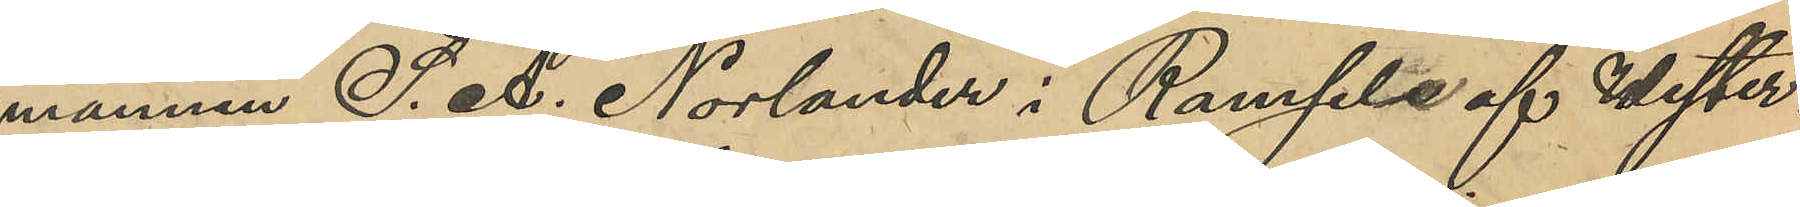mannen S. A. Norlander i Ramsele af Wester¬
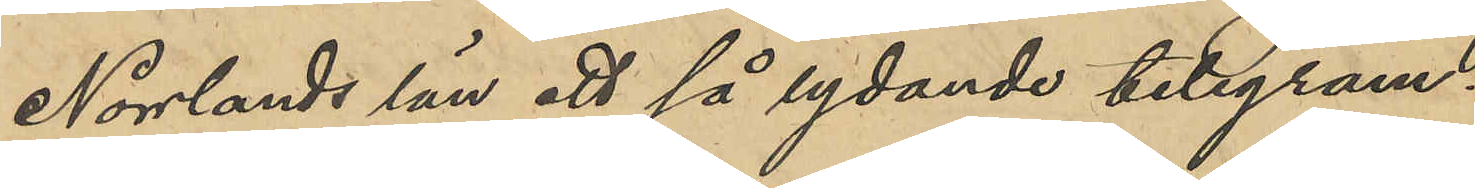Norrlands län ett så lydande telegram:
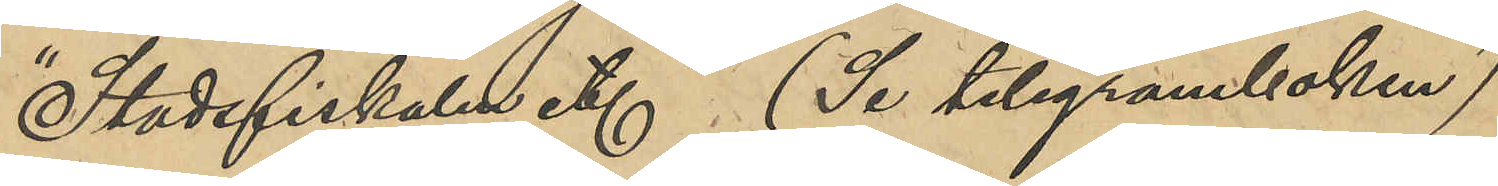"Stadsfiskalen etc. (Se telegramboken)
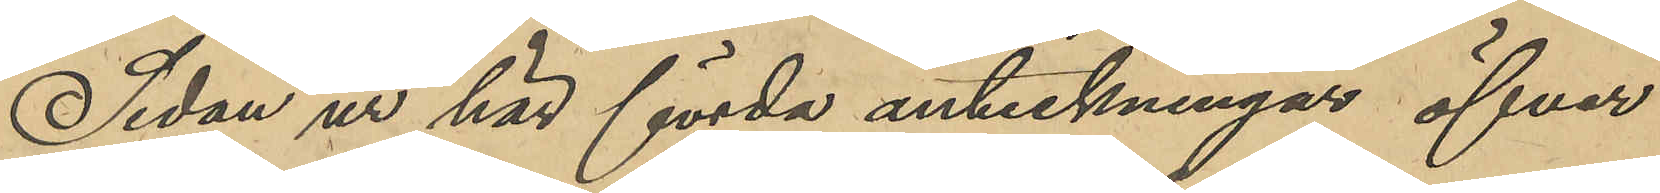Sedan ur här förda anteckningar öfver
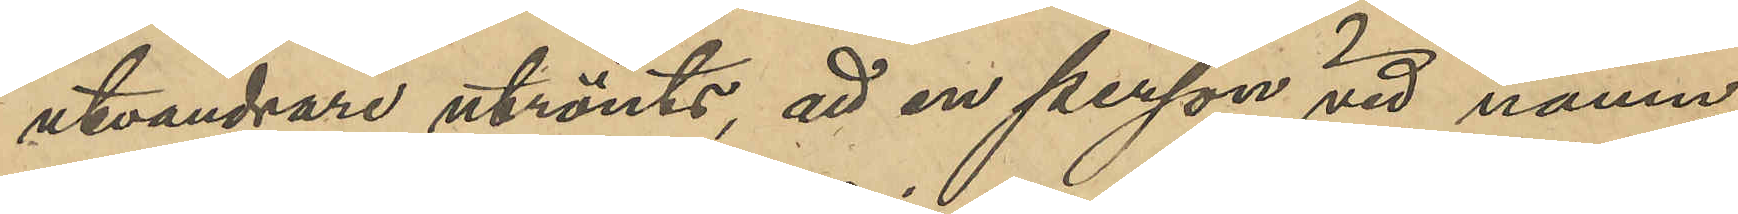utvandrare utrönts, att en person vid namn
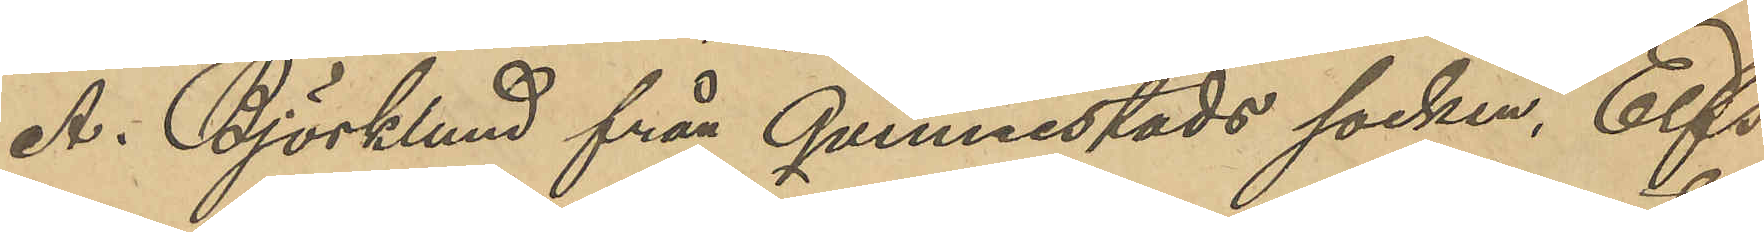A. Björklund från Qvinnestads socken, Elfs¬
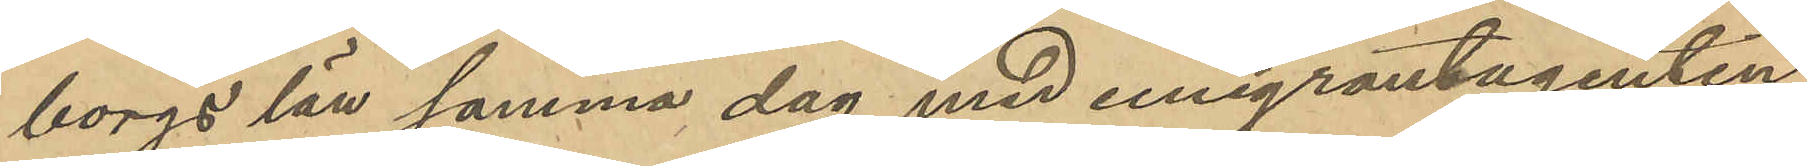borgs län samma dag med emigrantagenten
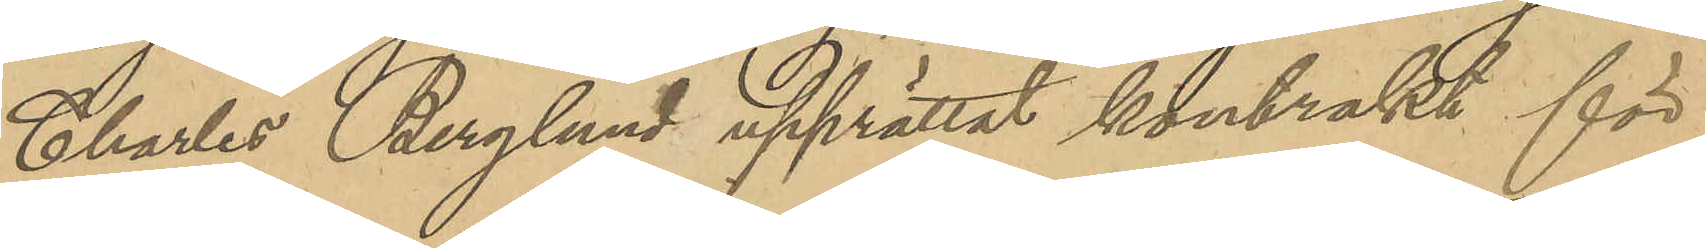Charles Berglund upprättat kontrakt för
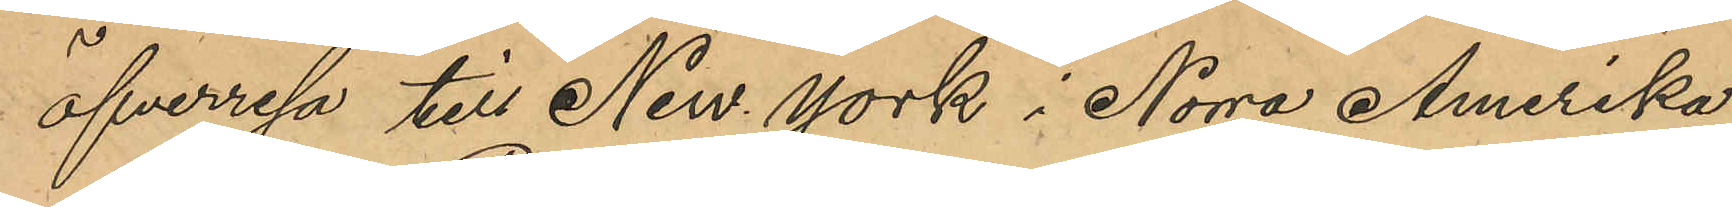öfverresa till New York i Norra Amerika;
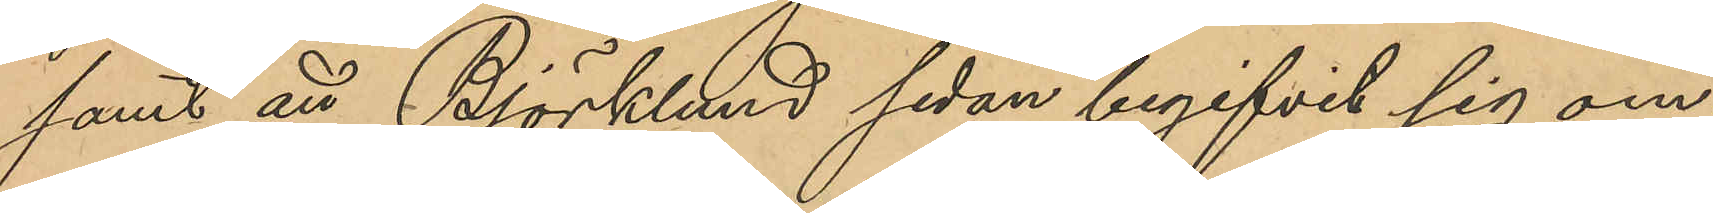samt att Björklund sedan begifvit sig om¬
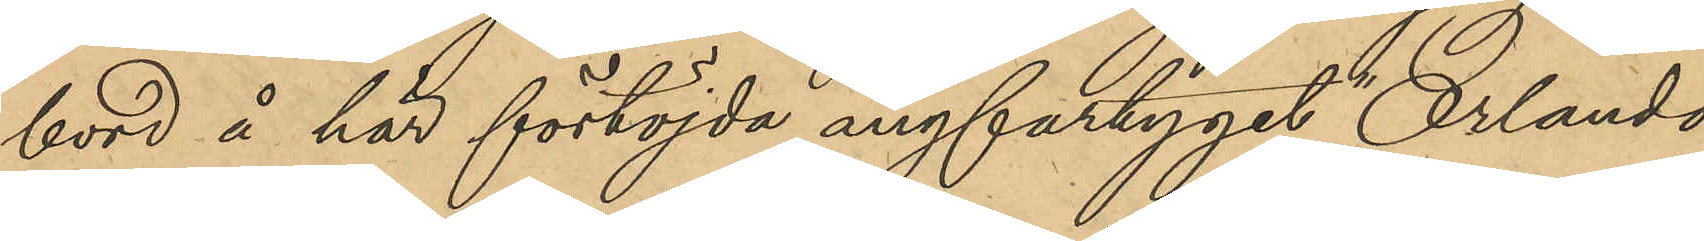bord å här förtöjda ångfartyget "Orlando"
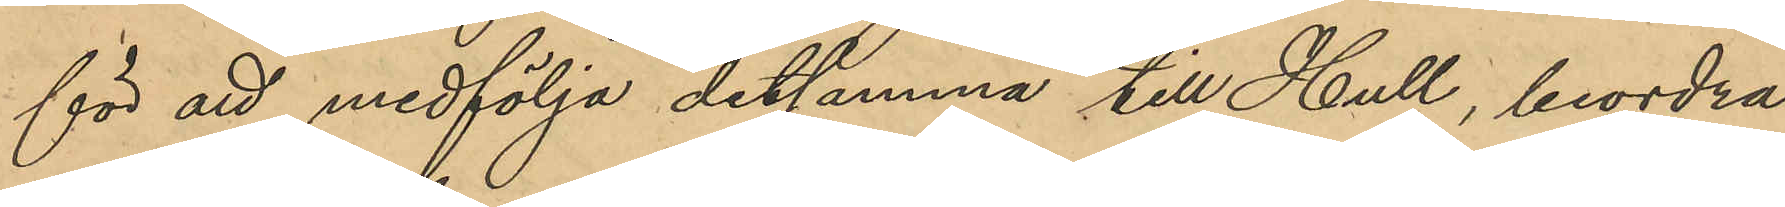för att medfölja detsamma till Hull, beordra¬
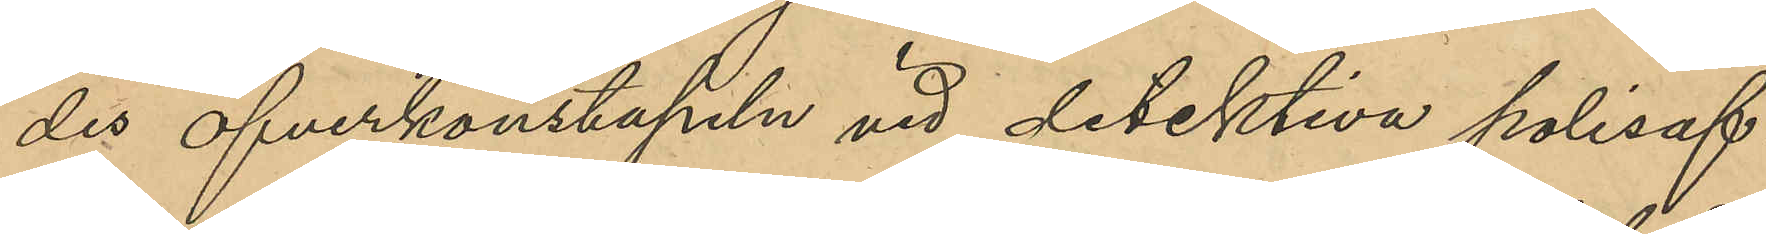des öfverkonstapeln vid detektiva polisaf¬
